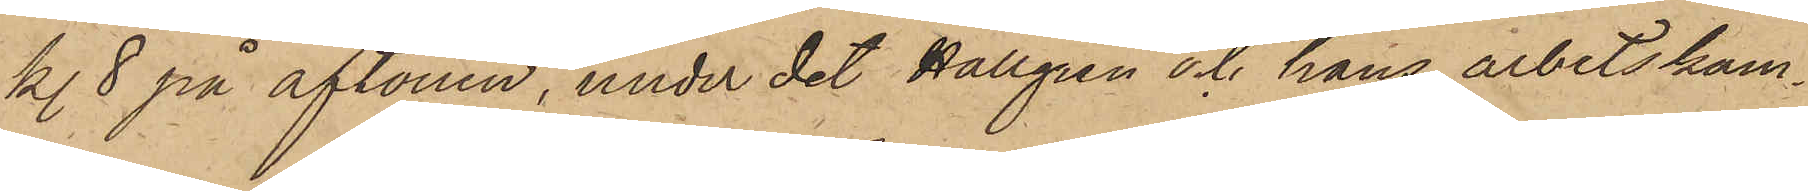kl. 8 på aftonen, under det Hallgren och hans arbetskam¬
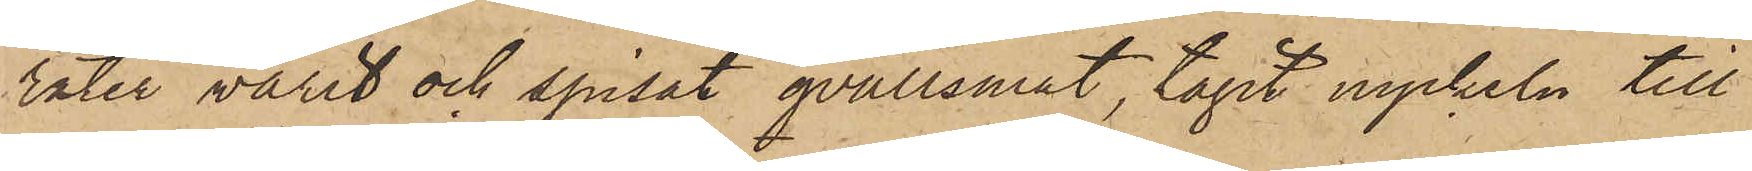rater varit och spisat qvällsmat, tagit nyckeln till
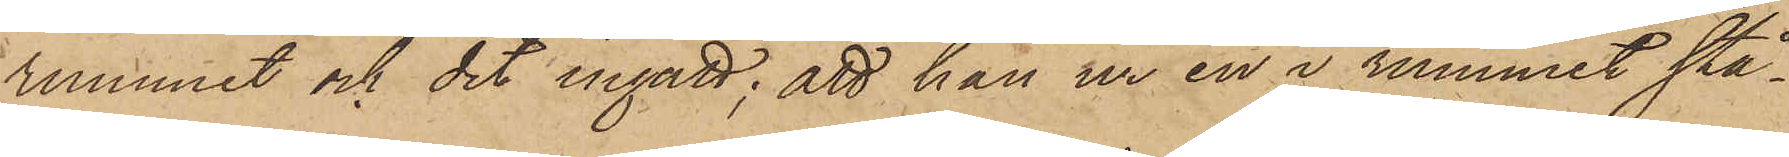rummet och dit ingått; att han ur en i rummet stå¬
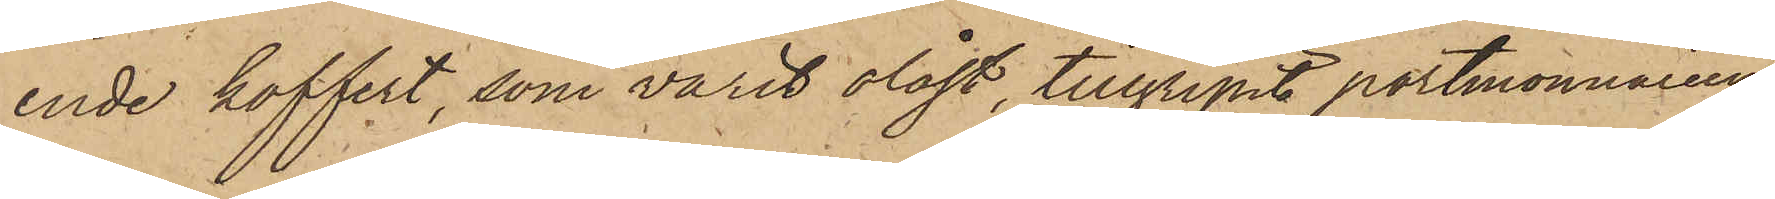ende koffert, som varit olåst, tillgripit portmonnaieen
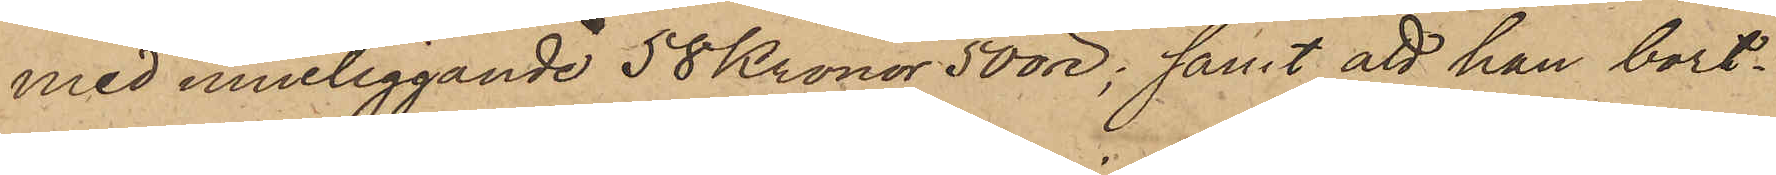med inneliggande 58 Kronor 50 öre; samt att han bort¬
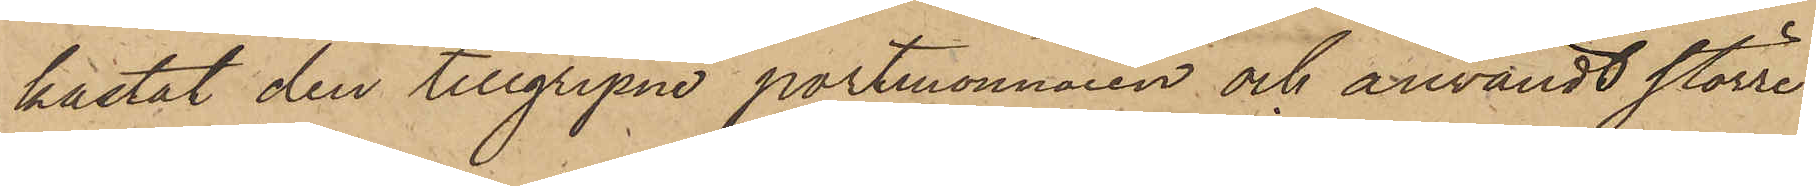kastat den tillgripne portmonnaien och användt större
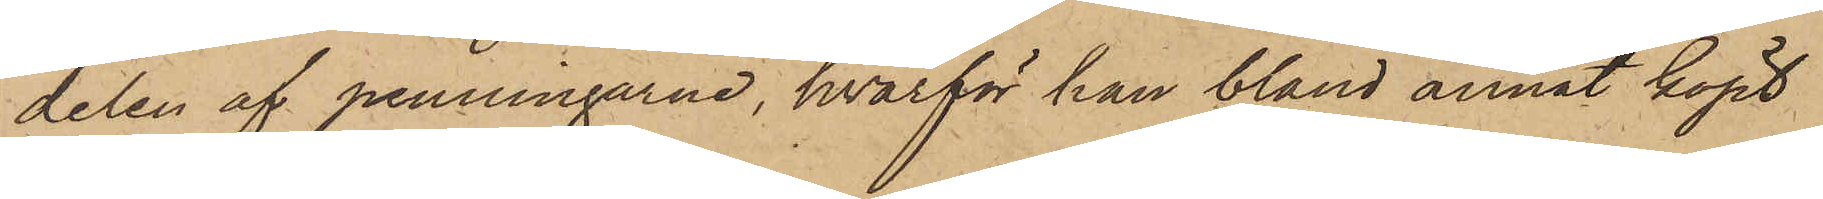delen af penningarne, hvarför han bland annat köpt
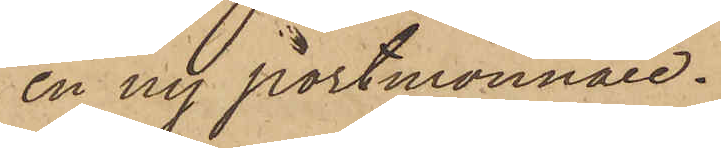en ny portmonnaie.
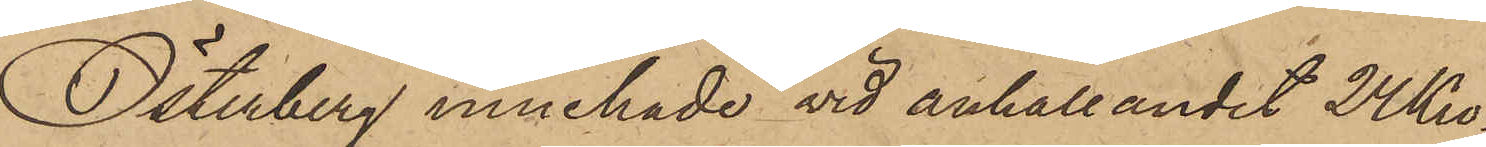Österberg innehade vid anhållandet 24 Kro¬
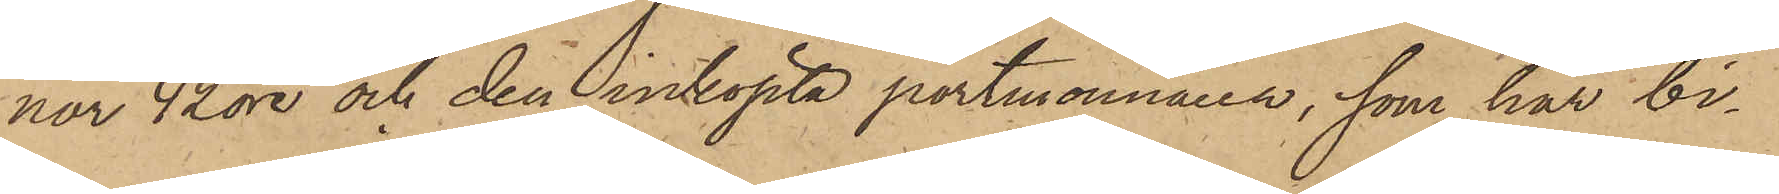nor 42 öre och den inköpta portmonnaien, som här bi¬
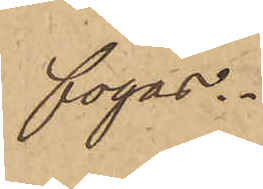fogas.
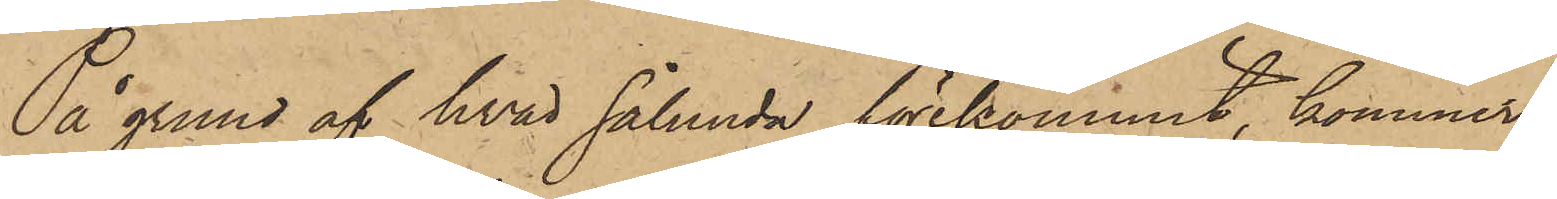På grund af hvad sålunda förekommit, kommer
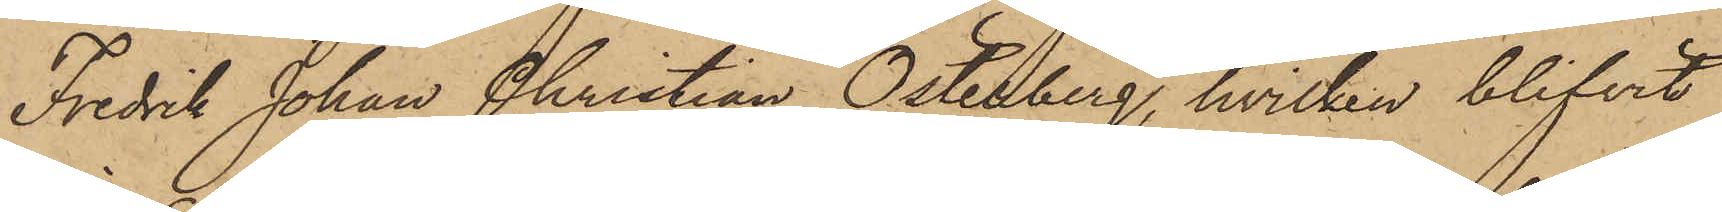Fredrik Johan Christian Österberg, hvilken blifvit
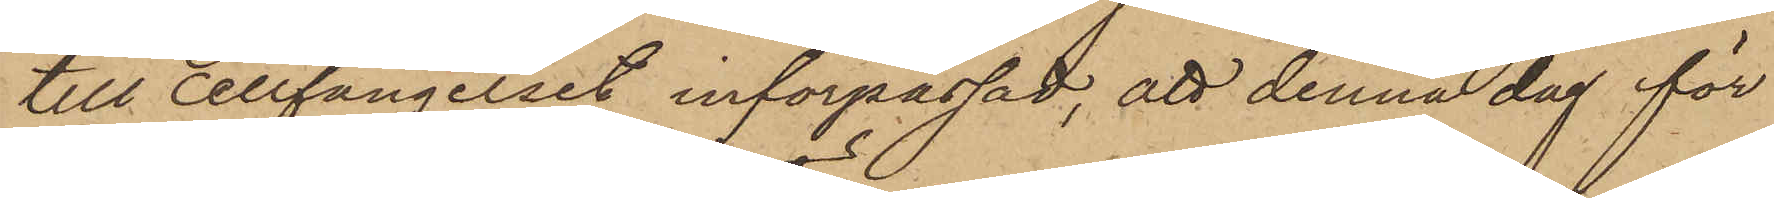till cellfängelset införpassad, att denna dag för
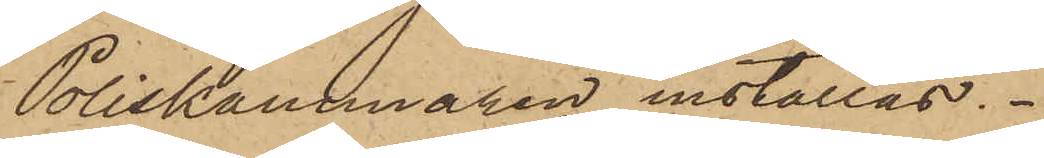Poliskammaren inställas.
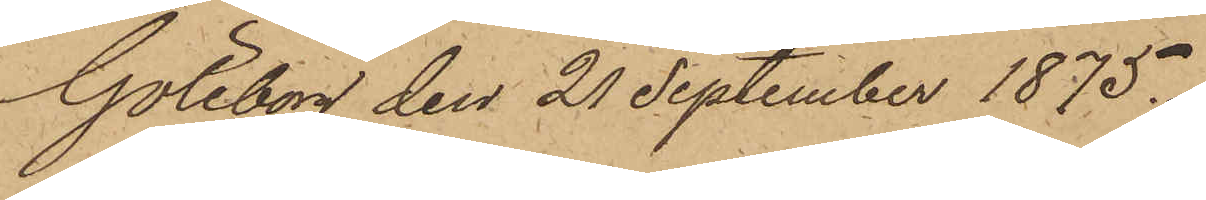Göteborg den 21 September 1875.
